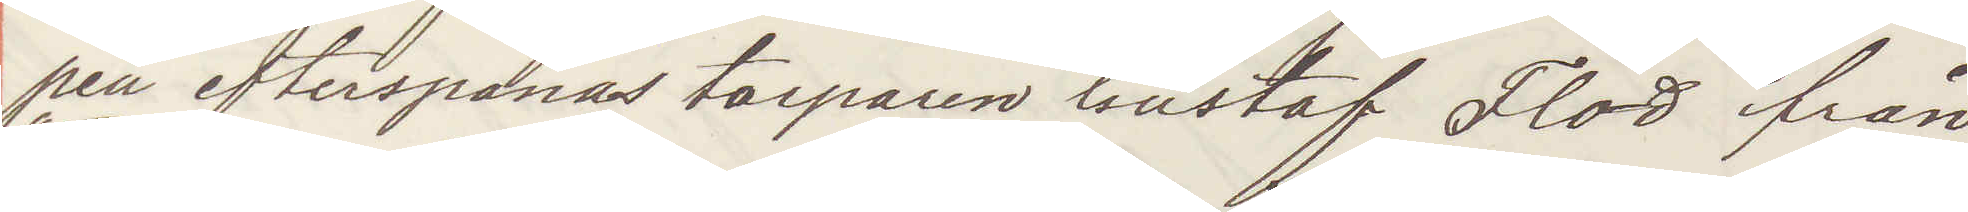pen efterspanas torparen Gustaf Flod från
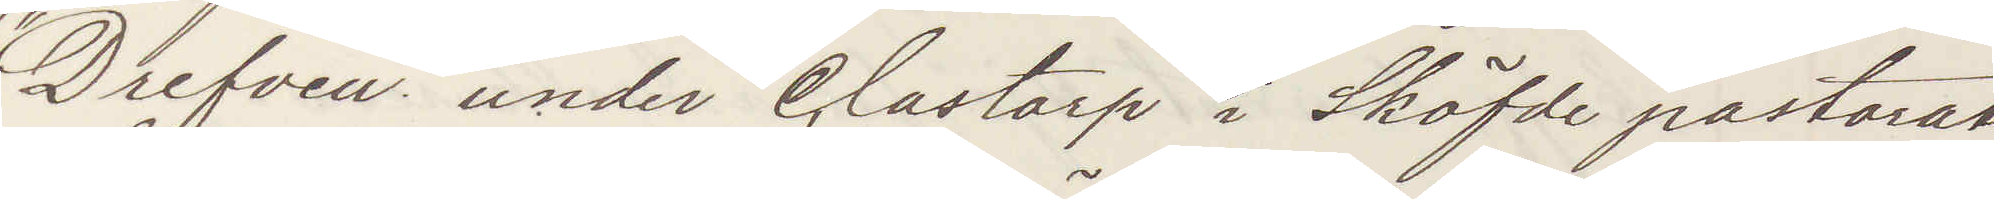"Drefven" under Clastorp i Sköfde pastorat
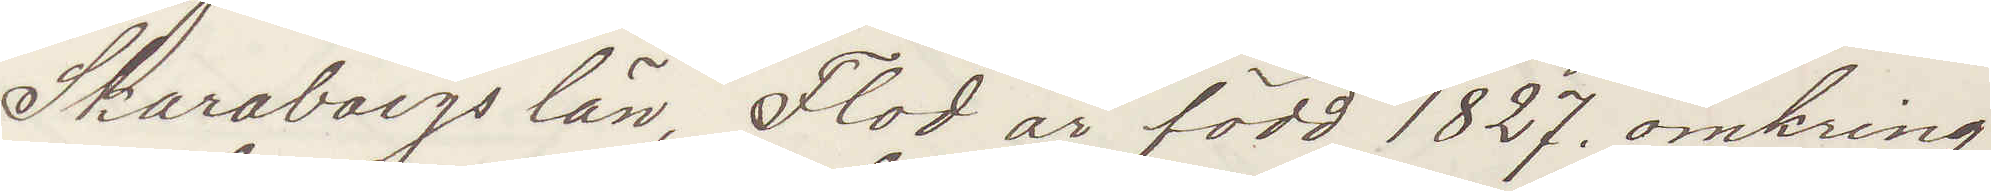Skaraborgs län, Flod är född 1827. omkring
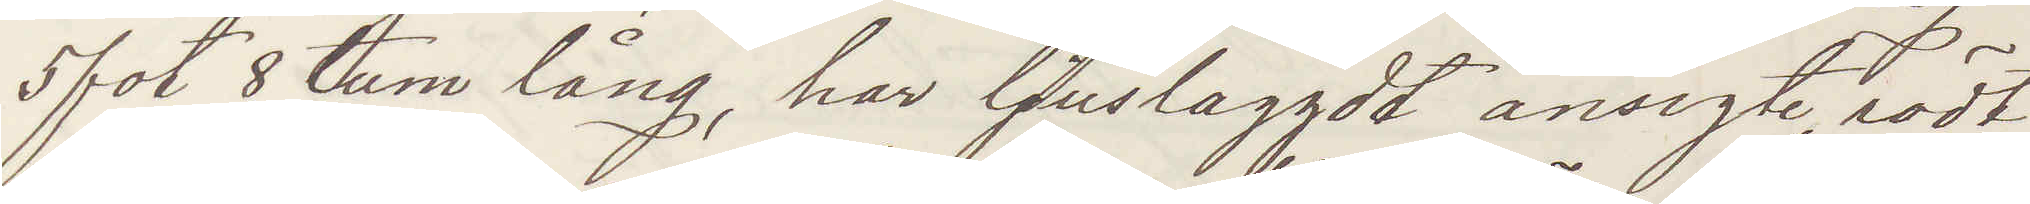5 fot 8 tum lång, har ljuslaggdt ansigte, rödt
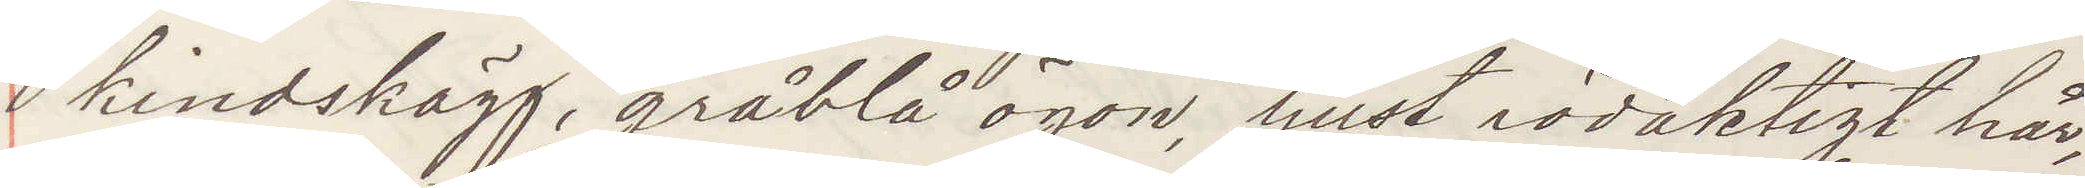kindskägg, gråblå ögon, ljust rödaktigt hår,
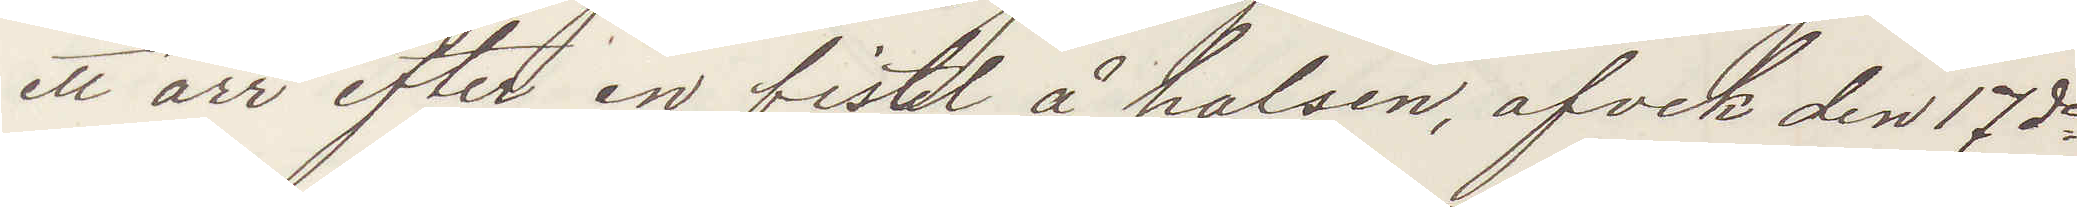ett ärr efter en fistel å halsen, afvek den 17de
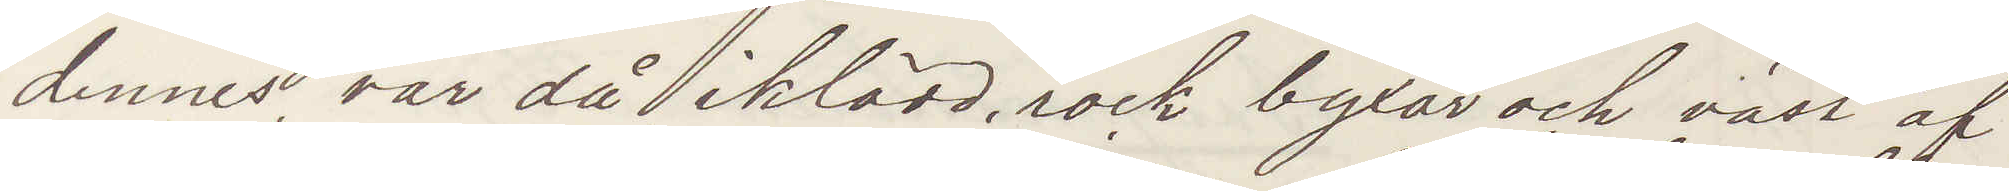dennes, var då iklädd rock byxor och väst af
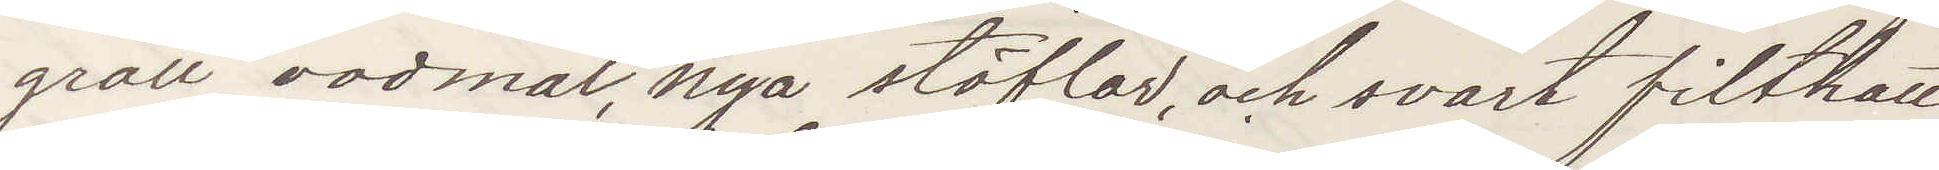grått vadmal, nya stöflar och svart filthatt,
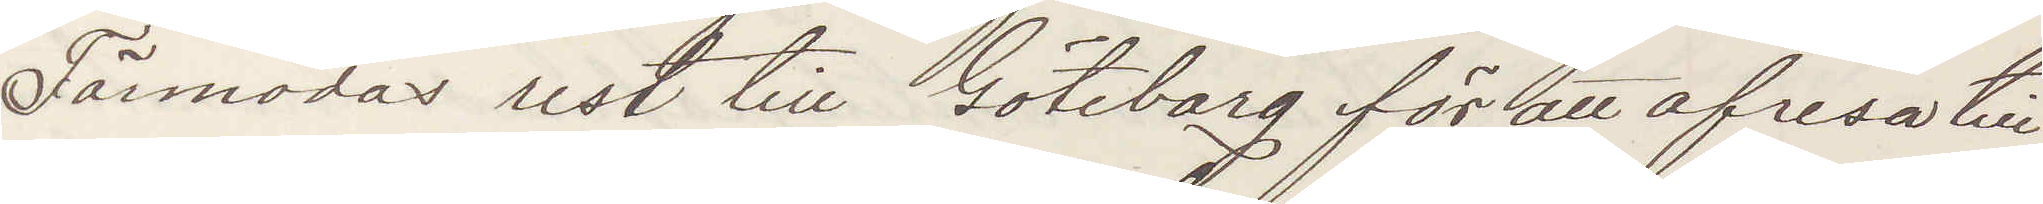Förmodas rest till Göteborg för att afresa till
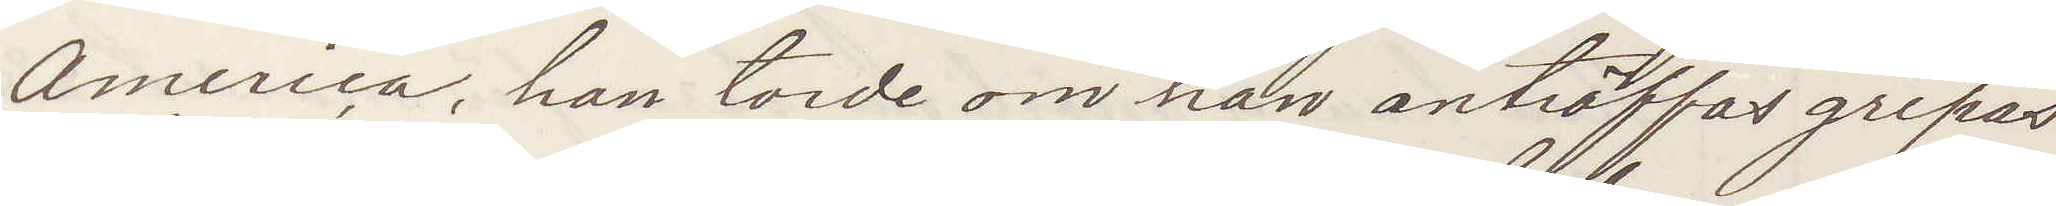America, han torde om han anträffas gripas
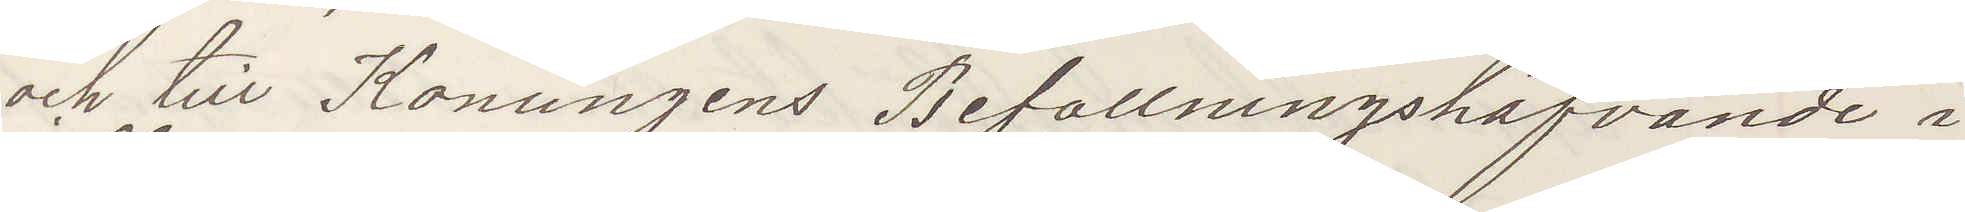och till Konungens Befallningshafvande i
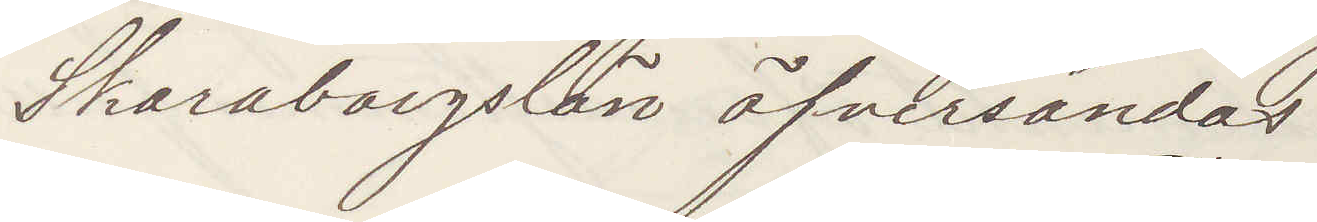Skaraborgslän öfversändas.
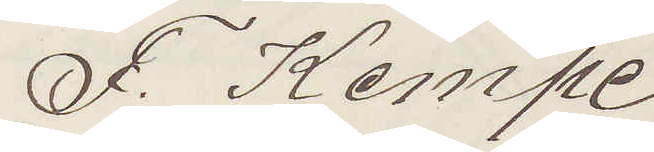F. Kempe
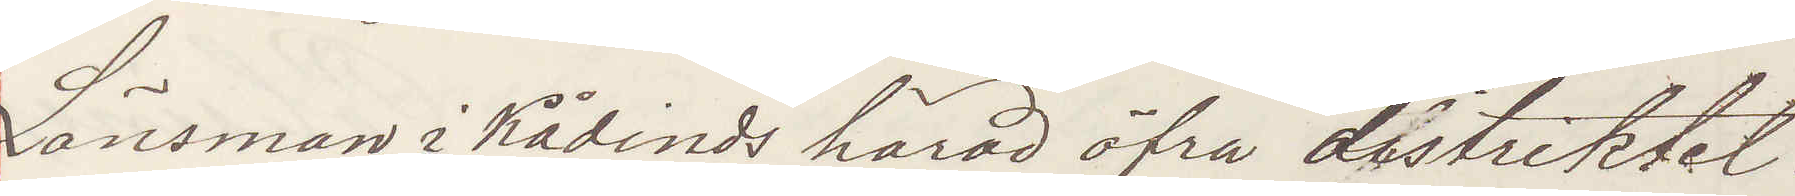Länsman i Kåkinds härad öfra distriktet
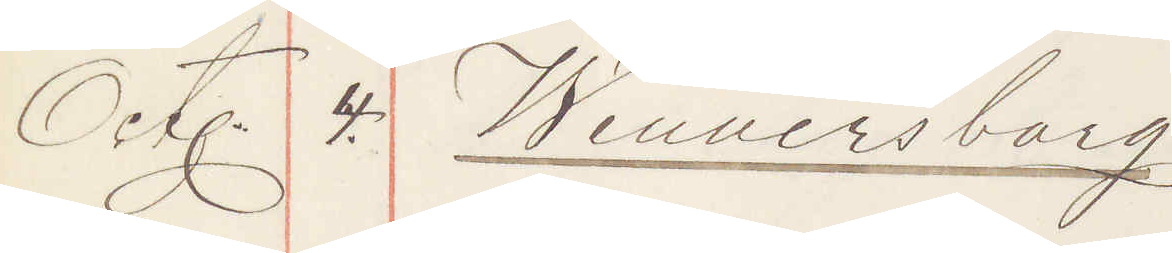Okt. 4. Wennersborg
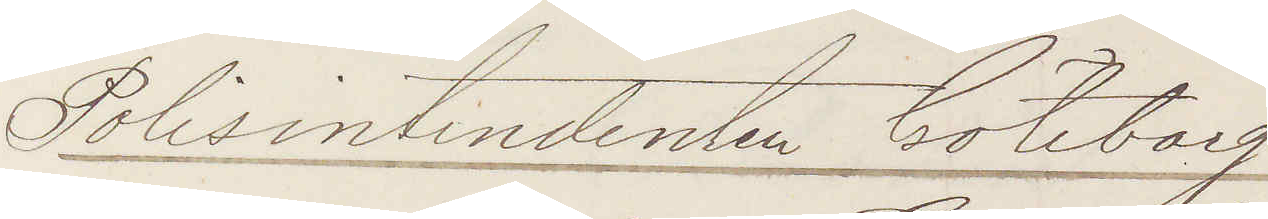Polisintendenten Göteborg
